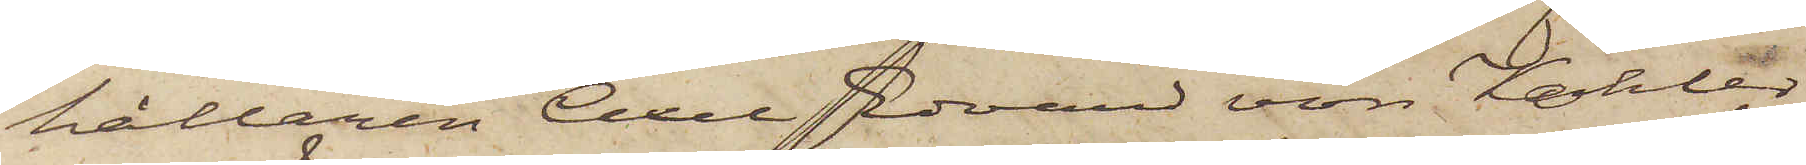hållaren Axel Edvard von Köhler
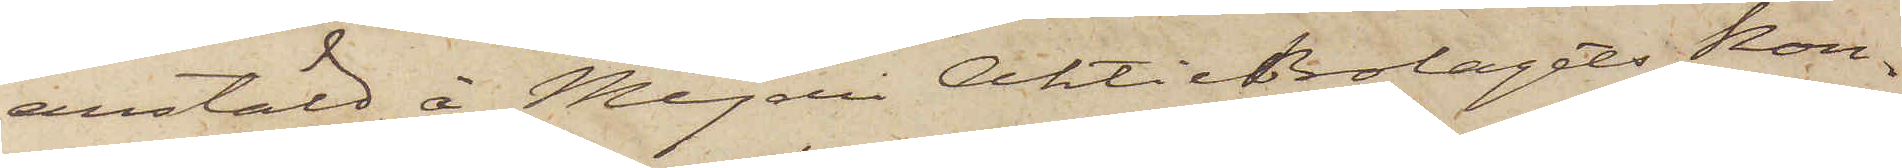anstäld å Mejeri AktieBolagets Kon¬
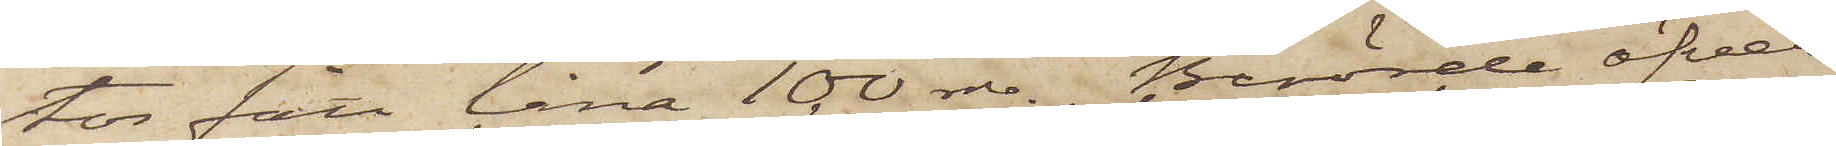tor fått låna 100 rdr. Berörde öfver¬
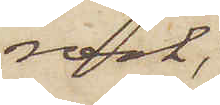rock,
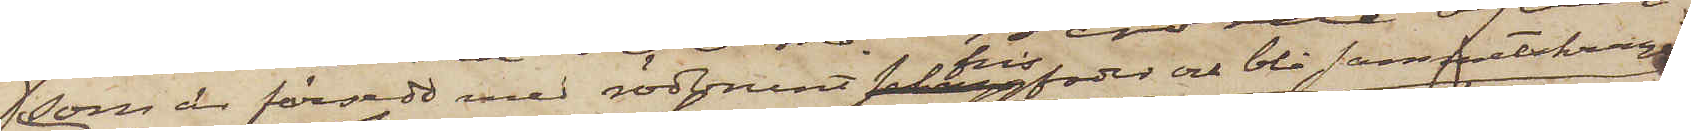som är försedd med rödbrunt frisfoder och blå sammetskrage
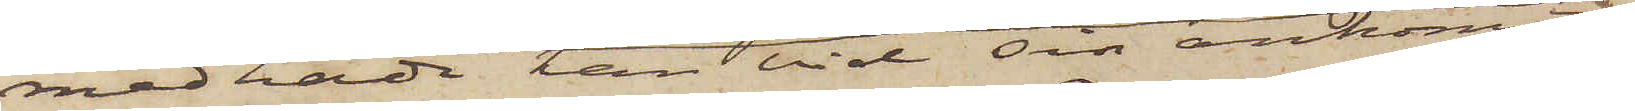medhade han vid sin ankomst
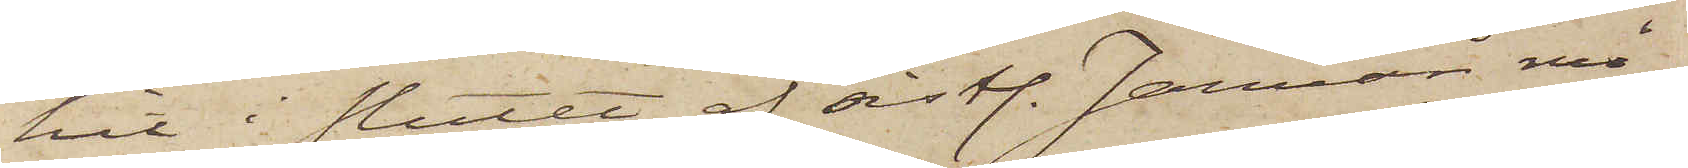hit i slutet af sistl. Januari må¬
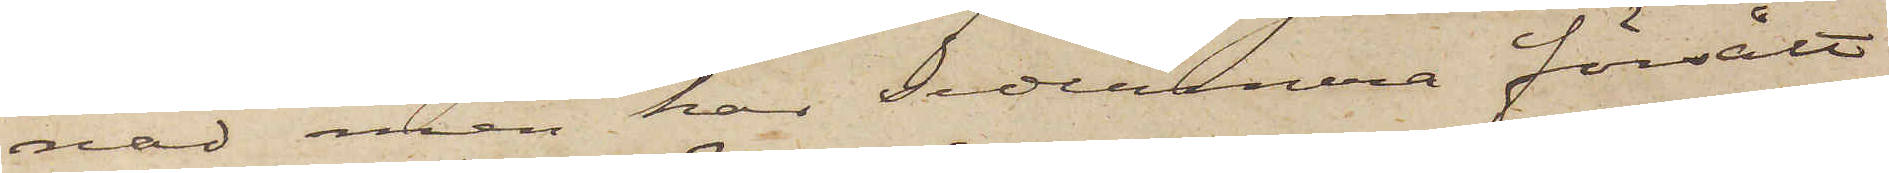nad, men har sedermera försålt
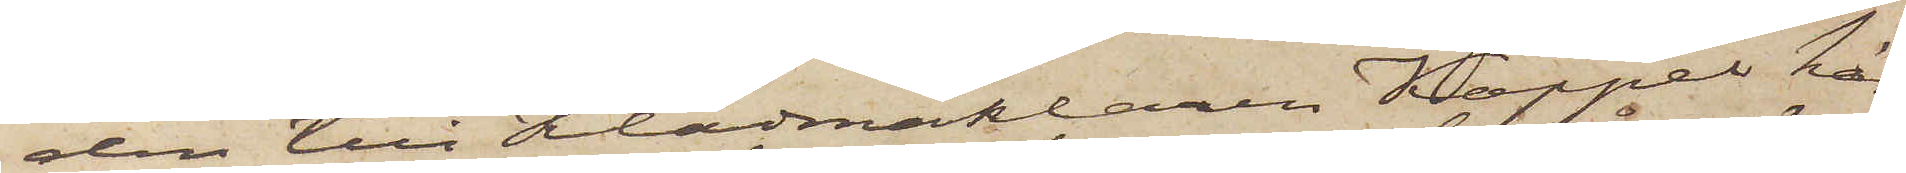den till Klädmäklaren Koppel här¬
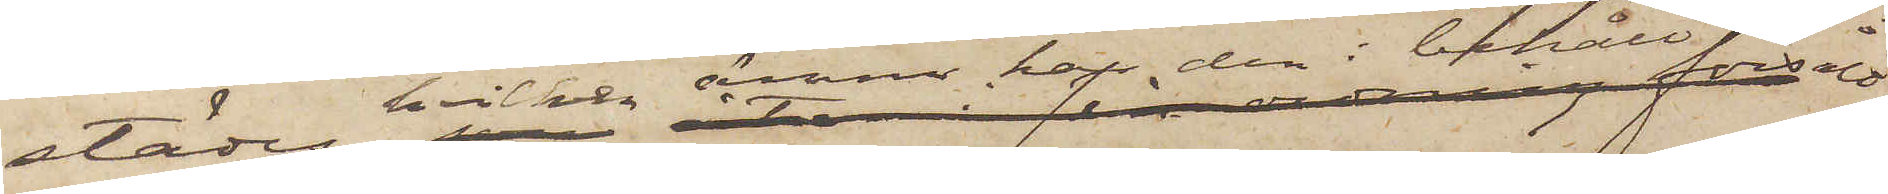städes, hvilken ännu har den i behåll försålt
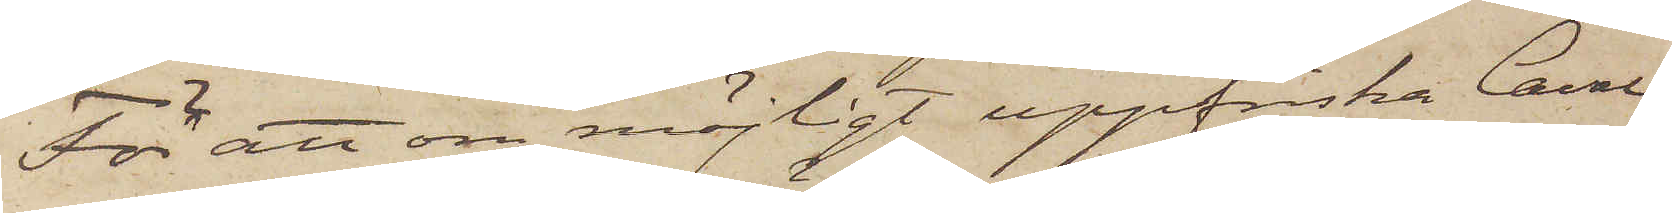För att om möjligt uppfriska Cava¬
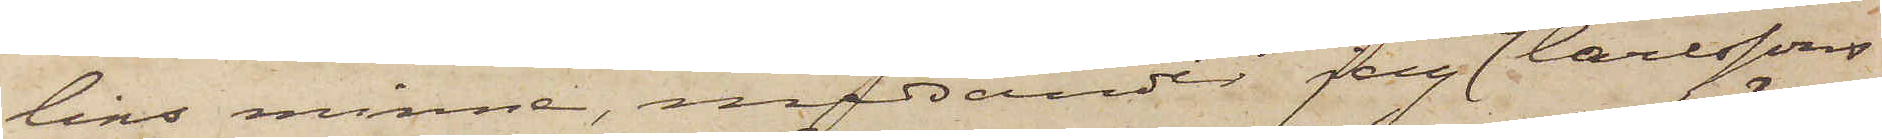lins minne, medsänder jag ett Carlssons
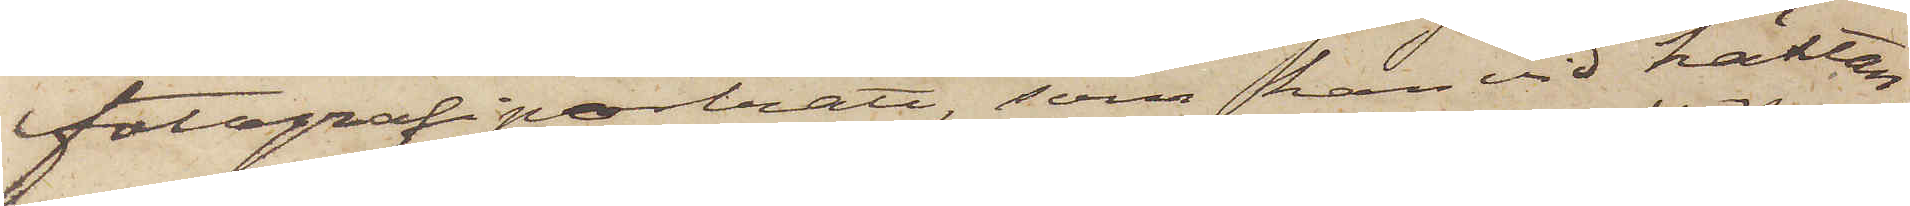fotografiporträtt, som han vid häktan¬
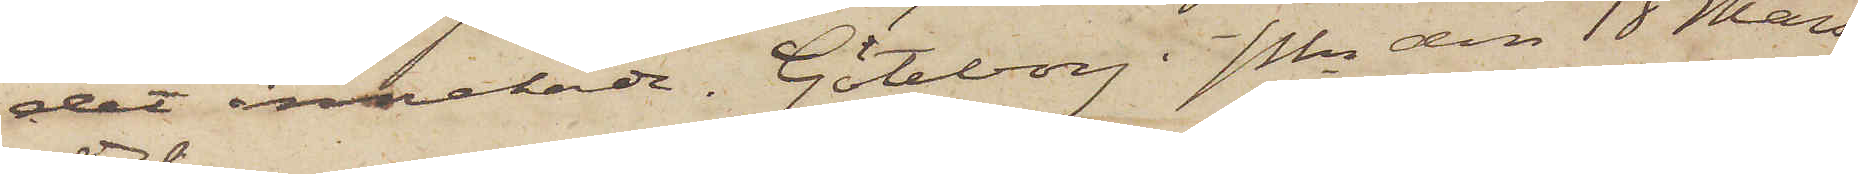det innehade. Göteborg i Pkn den 18 Mars
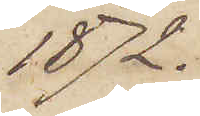1872.
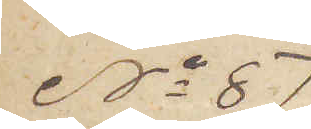No 87
